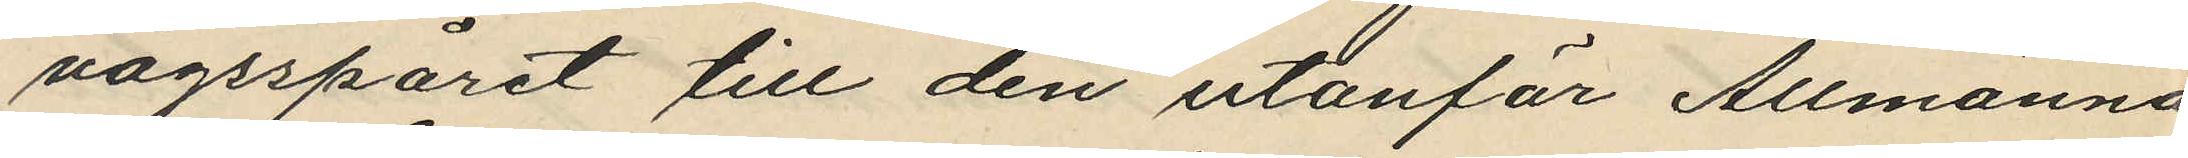vägsspåret till den utanför Allmänna
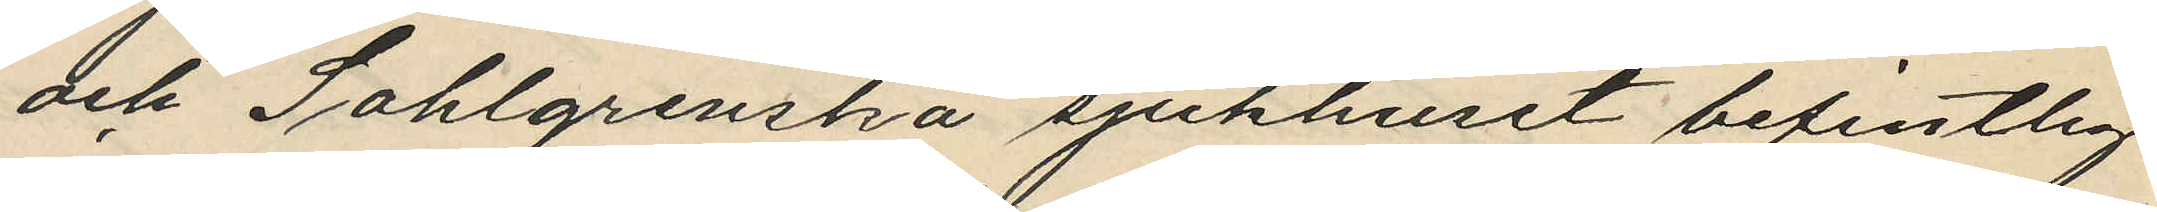och Sahlgrenska sjukhuset befintlig
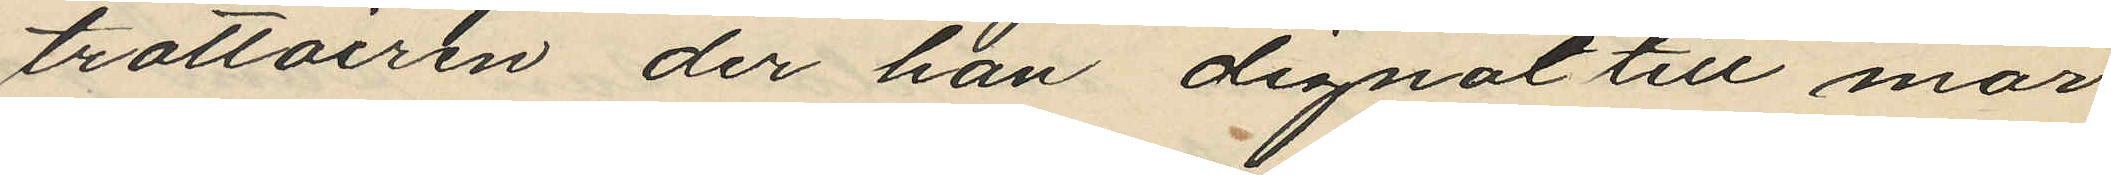trottoiren der han dignat till mar¬
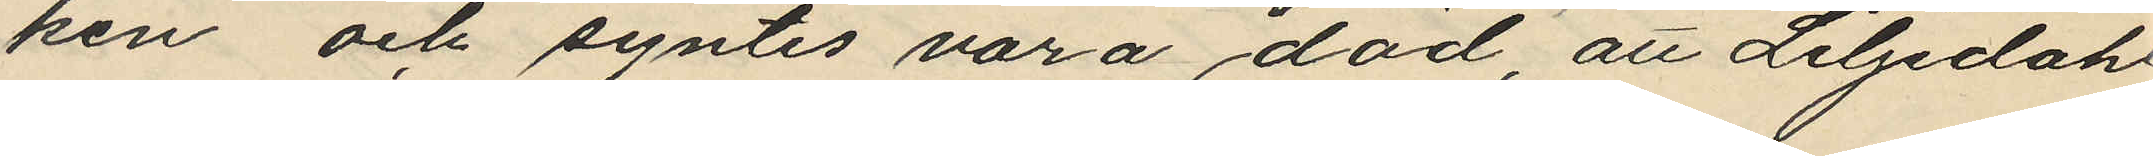ken och syntes vara död, att Liljedahl
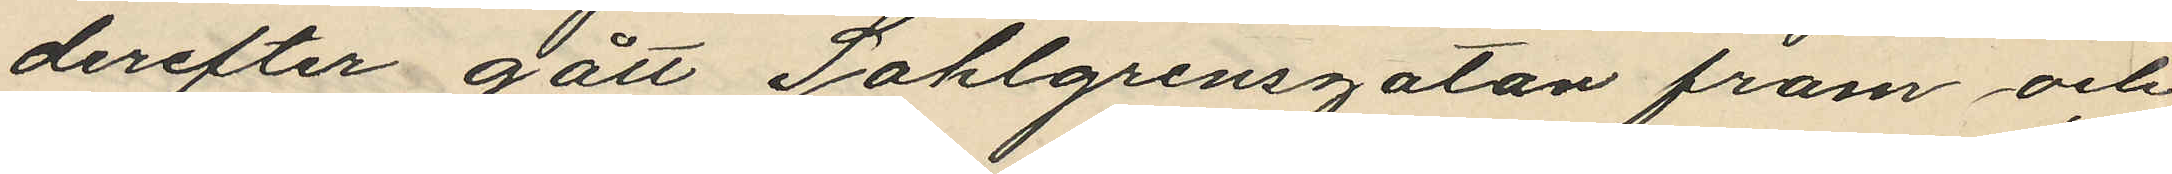derefter gått Sahlgrensgatan fram och
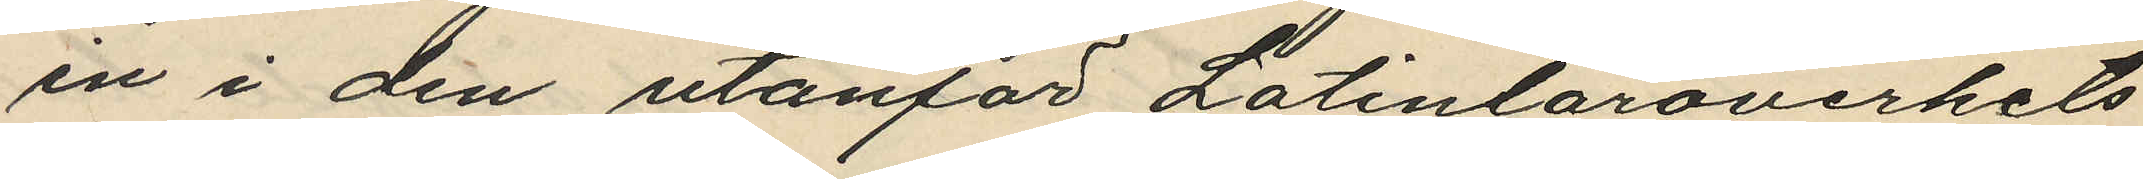in i den utanför Latinläroverkets
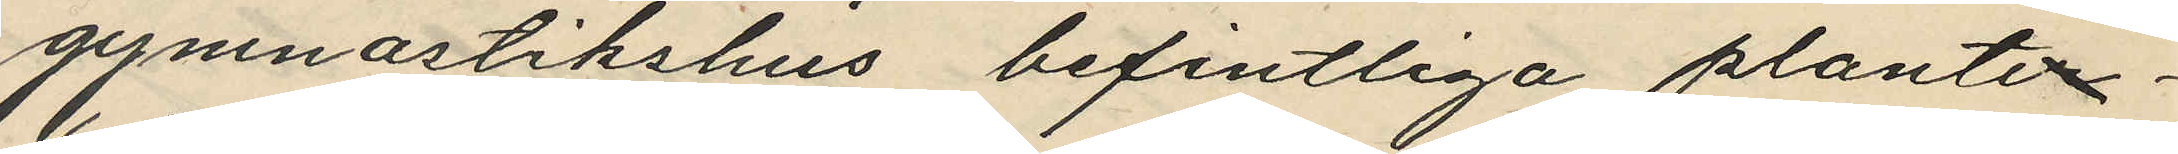gymnastikshus befintliga planter¬
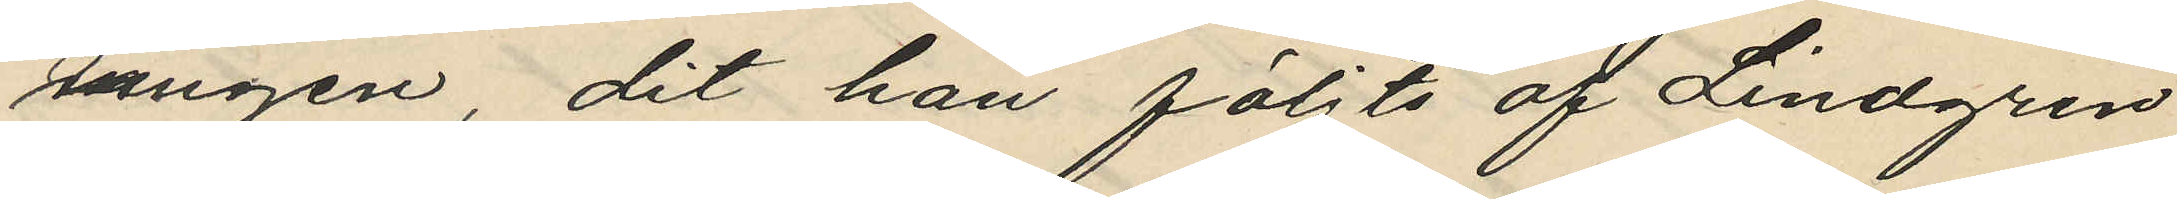ringen, dit han följts af Lindgren
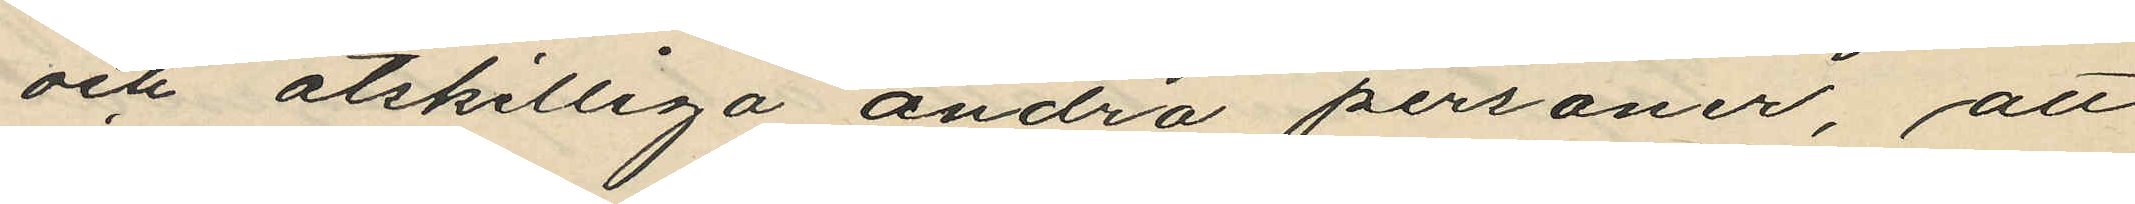och åtskilliga andra personer, att
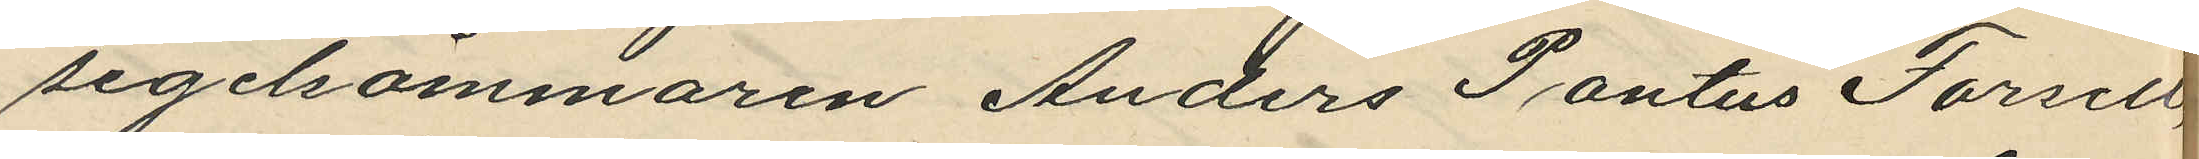segelsömmaren Anders Pontus Forsell,
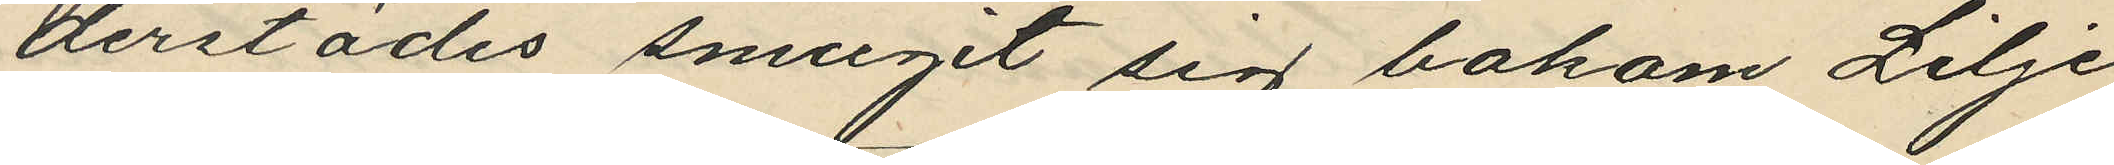derstädes smugit sig bakom Lilje¬
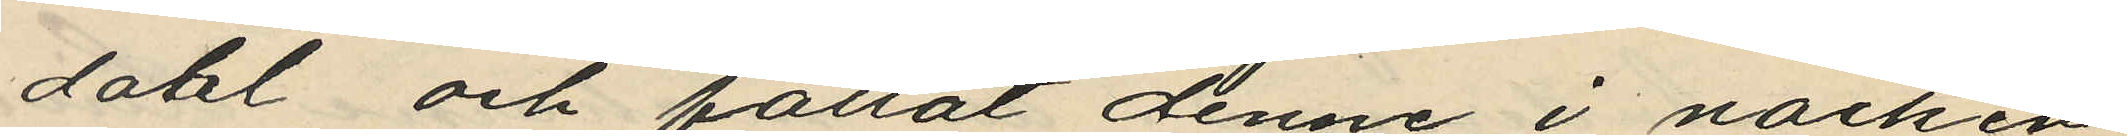dahl och fattat denne i nacken
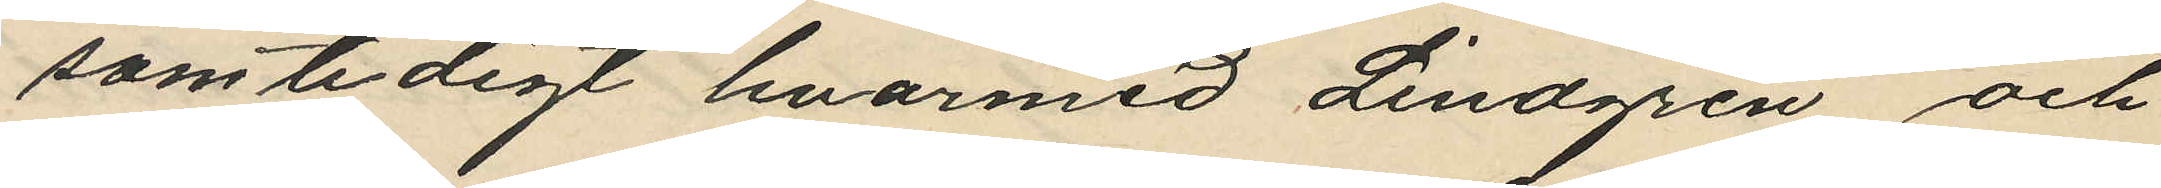som tidigt hvarmed Lindgren och
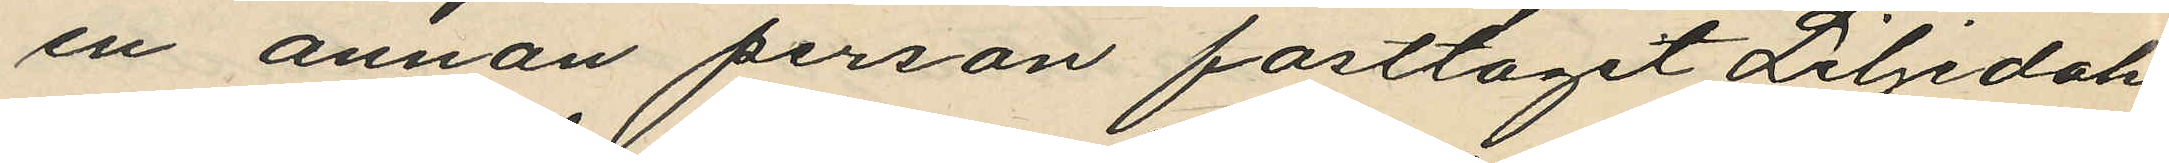en annan person fasttagit Liljedahl
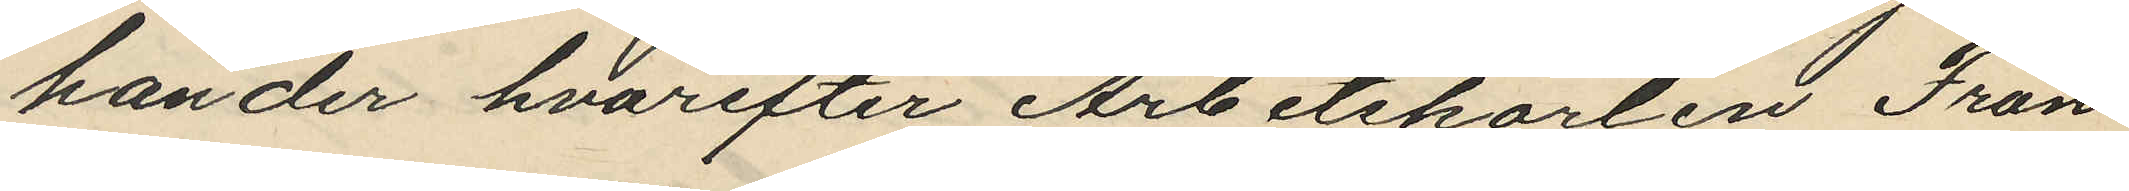händer hvarefter Arbetskarlen Frans
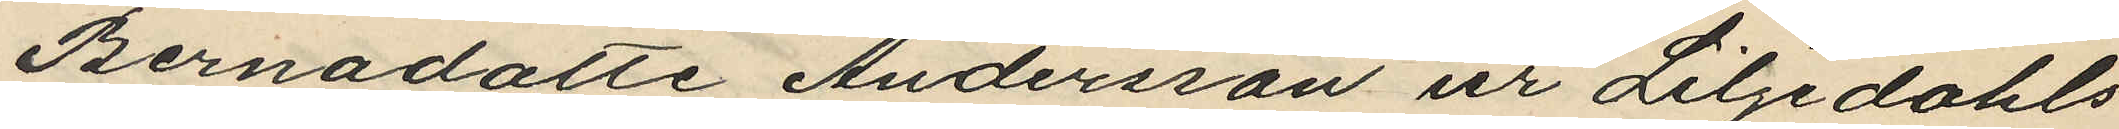Bernadotte Andersson ur Liljedahls
